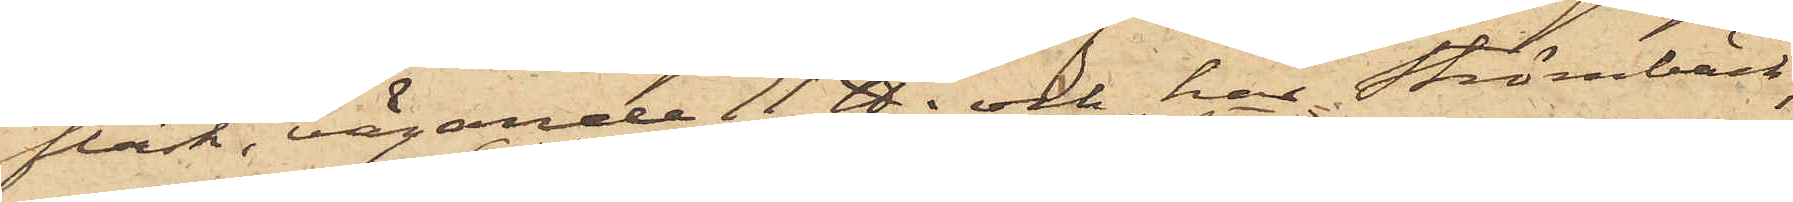fläsk, vägande 11 ℔, och har Strömbäck,
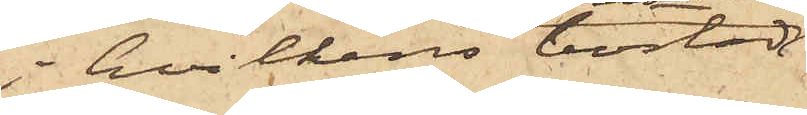i hvilkens bostad
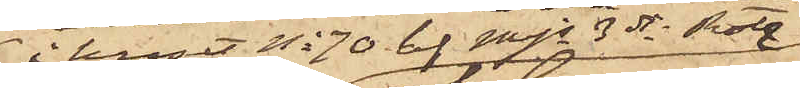i huset No 70 af Mjs 3dje Rote
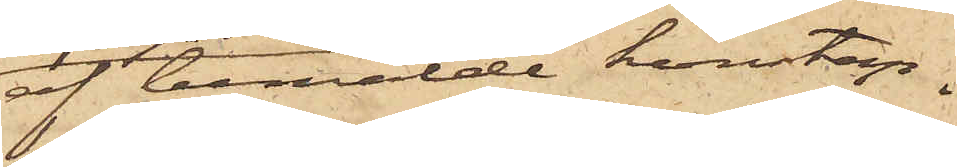af bemälde konstap¬
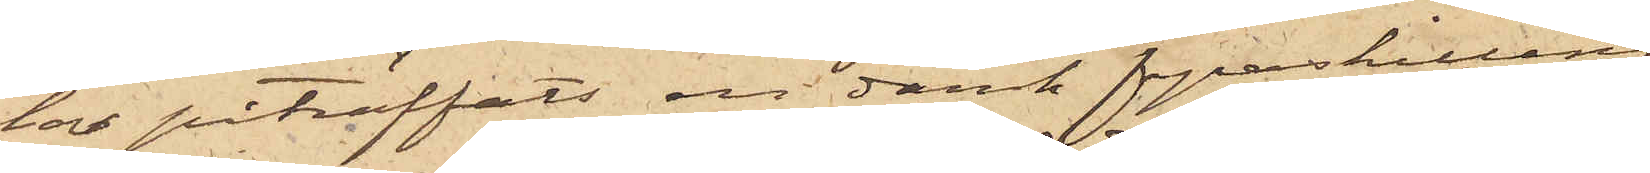lar påträffats en dansk fyraskilling,
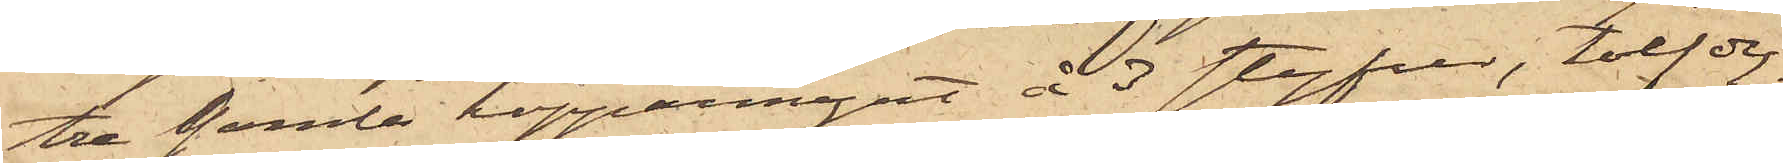tre gamla kopparmynt å 3 styfver, tolf dy¬
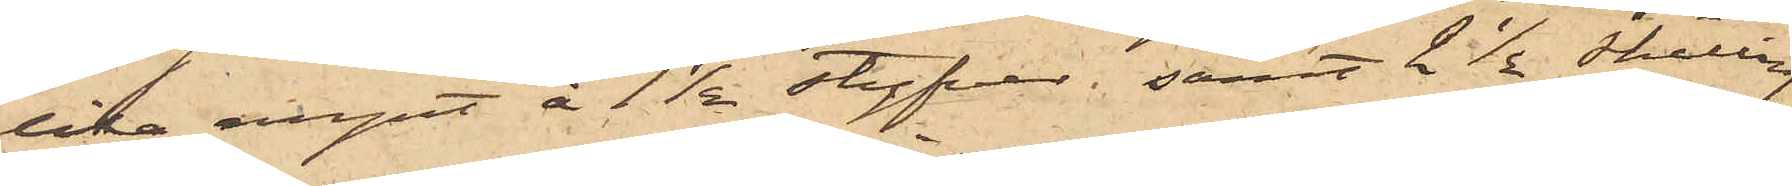lika mynt å 1½ styfver, samt  2½ skilling
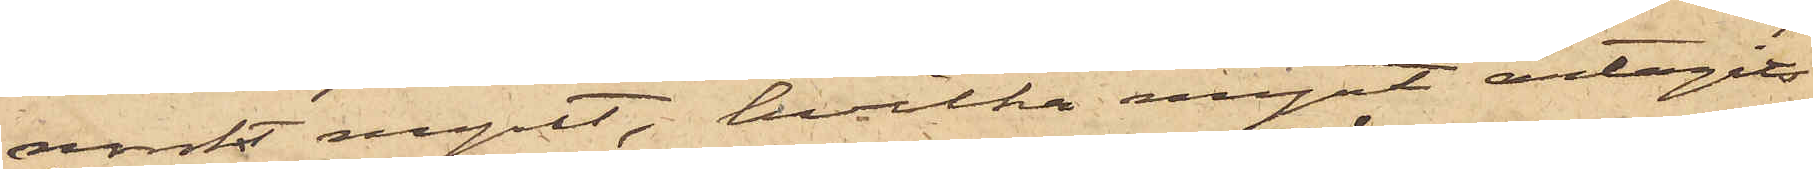svenskt mynt, hvilka mynt antagits
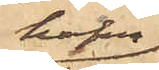hafva
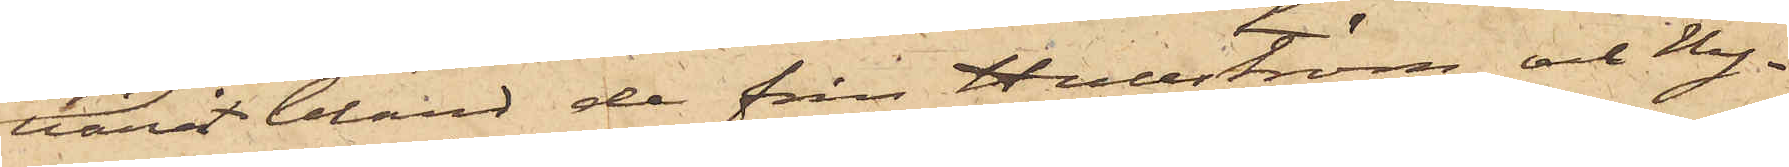varit bland de från Hullström och Hag¬
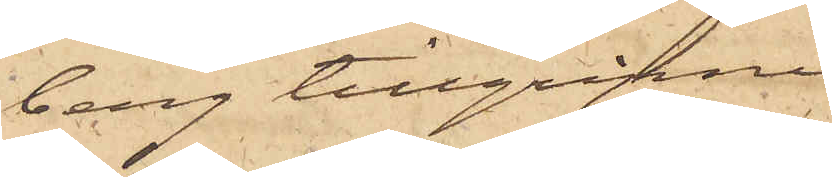berg tillgripne
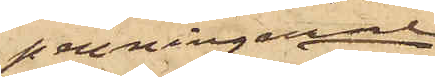penningarne,
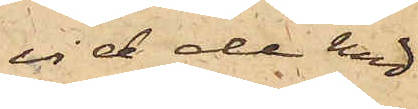vid de med
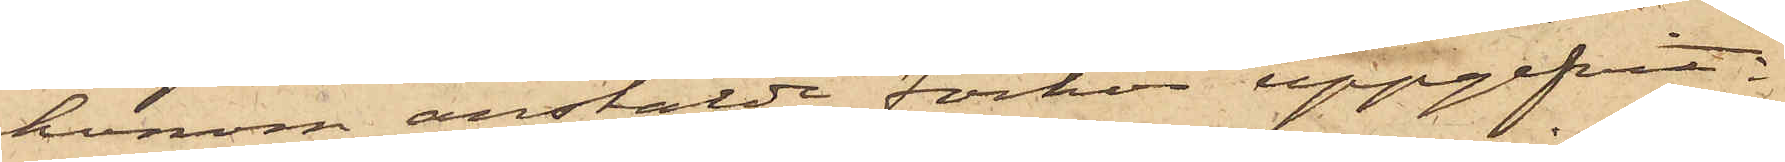honom anstälde förhör uppgifvit.
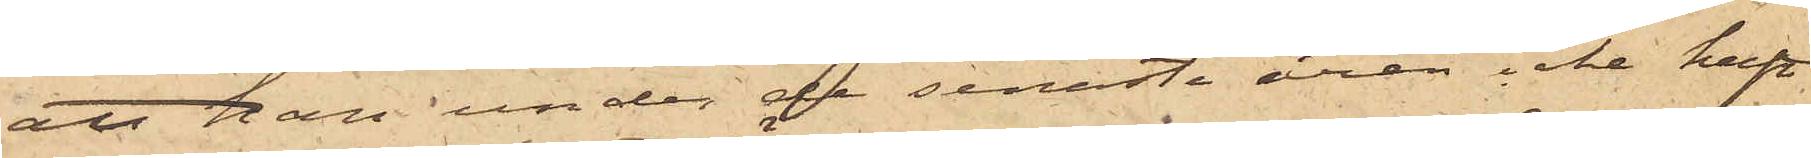att han under de senaste åren icke haft
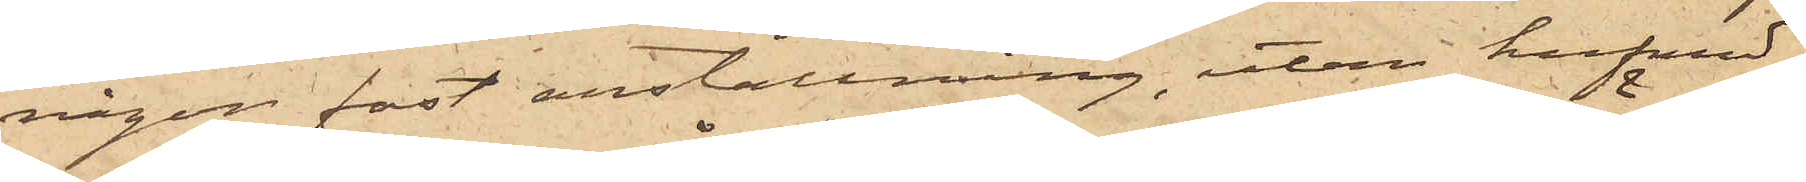någon fast anställning, utan hufvud¬
